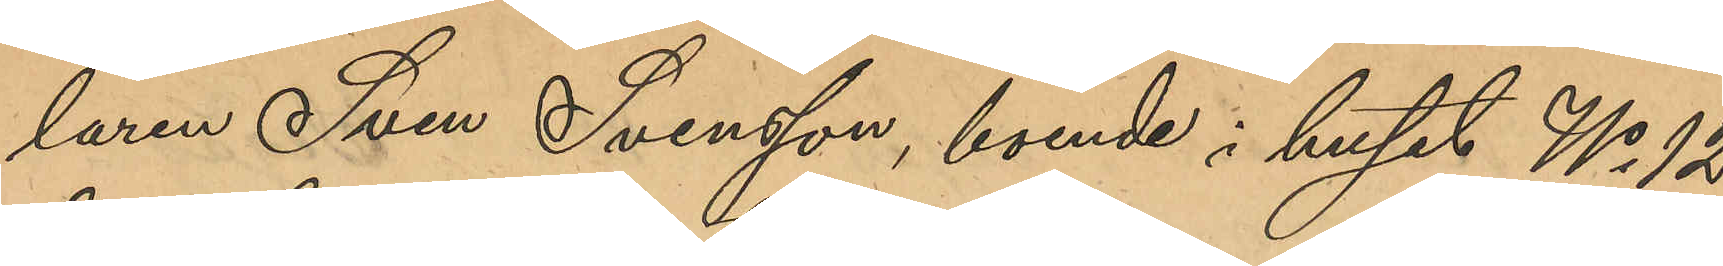laren Sven Svensson, boende i huset No 12
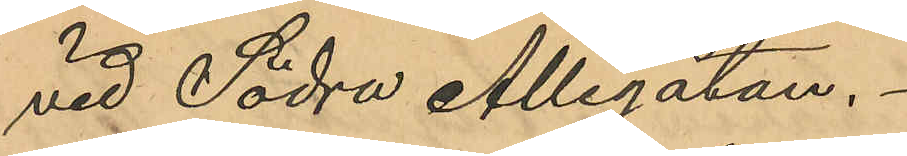vid Södra Allégatan.
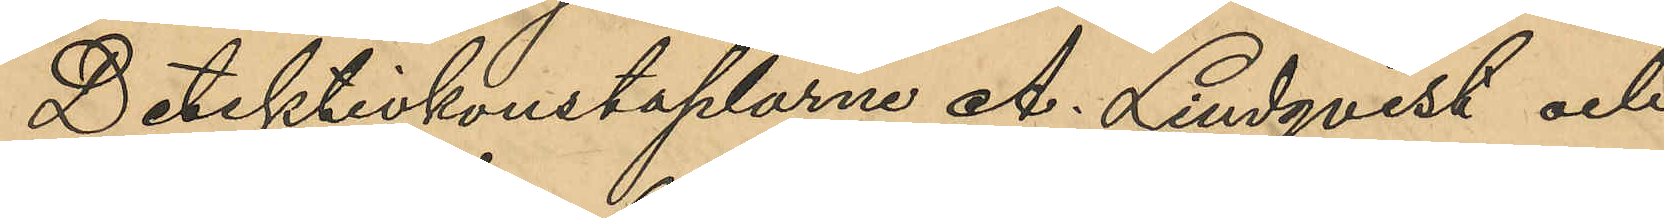Detektivkonstaplarne A. Lindqvist och
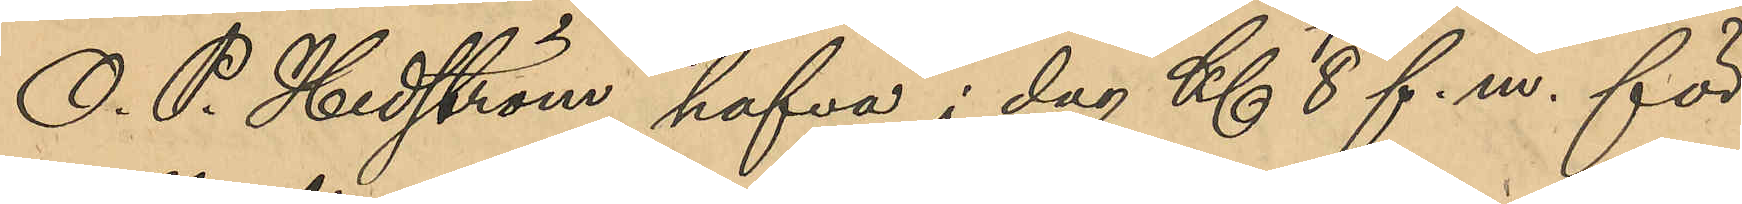O. P. Hedström hafva i dag Kl 8 f. m. för
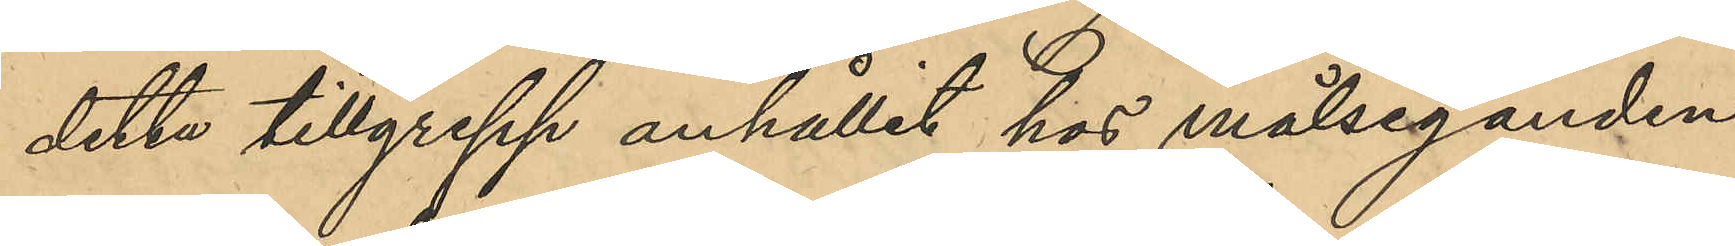detta tillgrepp anhållit hos målseganden
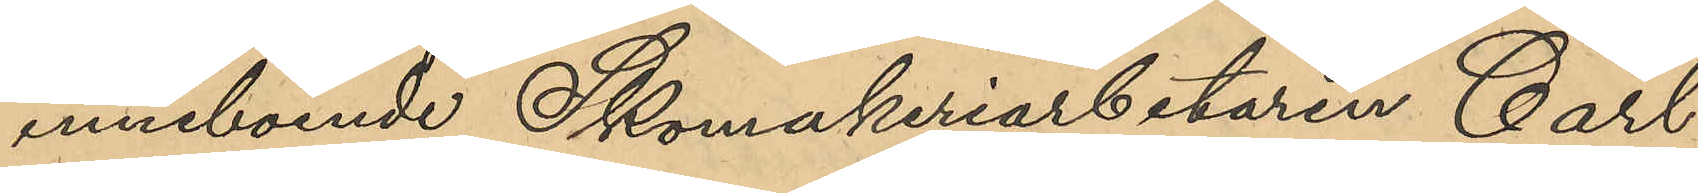inneboende Skomakeriarbetaren Carl
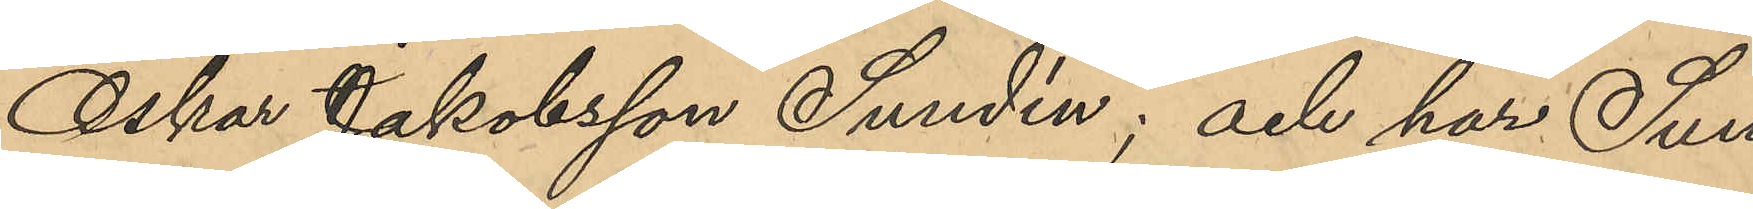Oskar Jakobsson Sundén; och har Sun¬
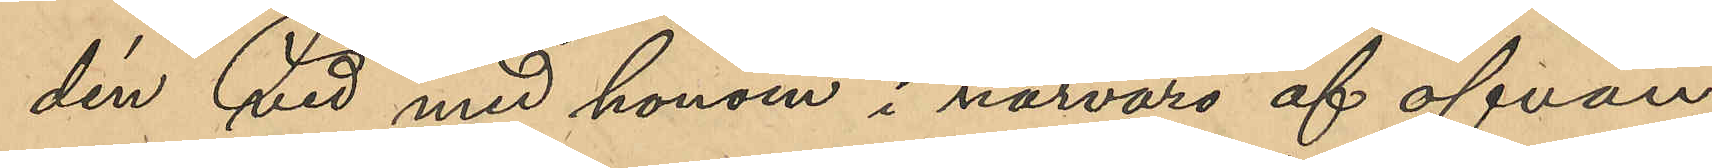dén vid med honom i närvaro af ofvan¬
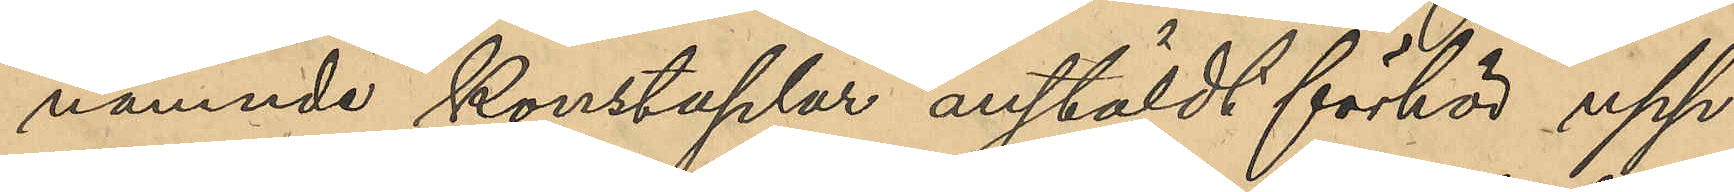nämnde konstaplar anstäldt förhör upp¬
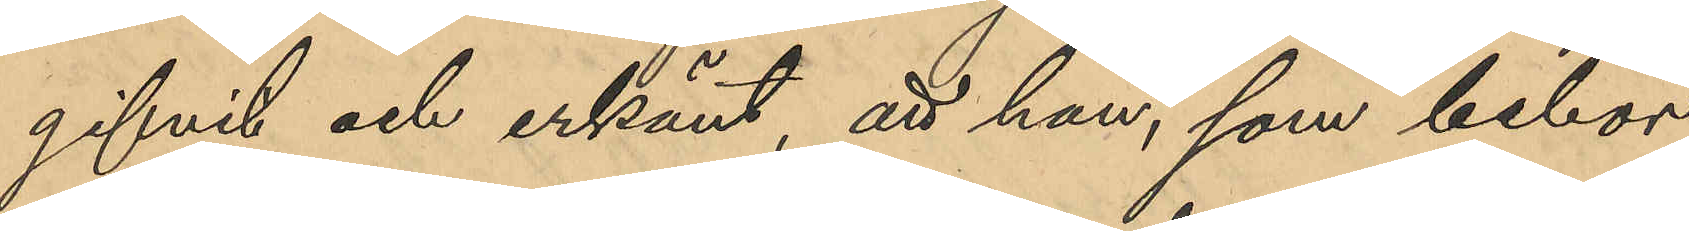gifvit och erkänt, att han, som bebor
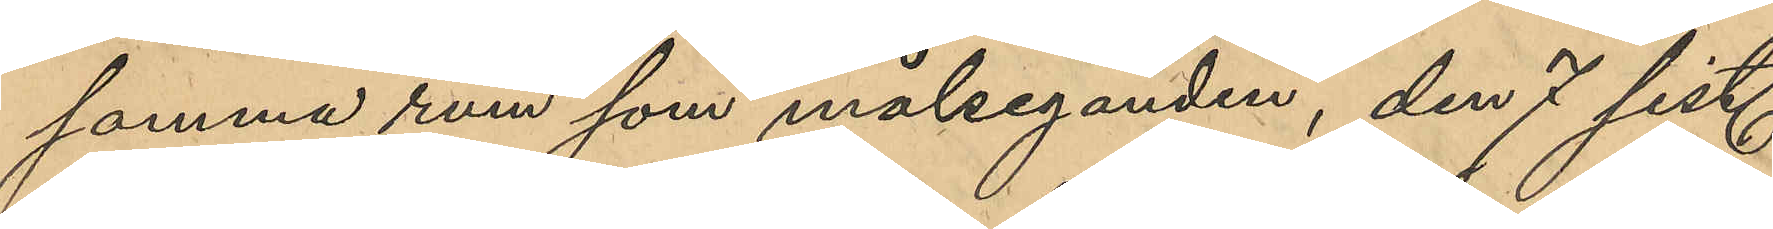samma rum som målseganden, den 7 sist.
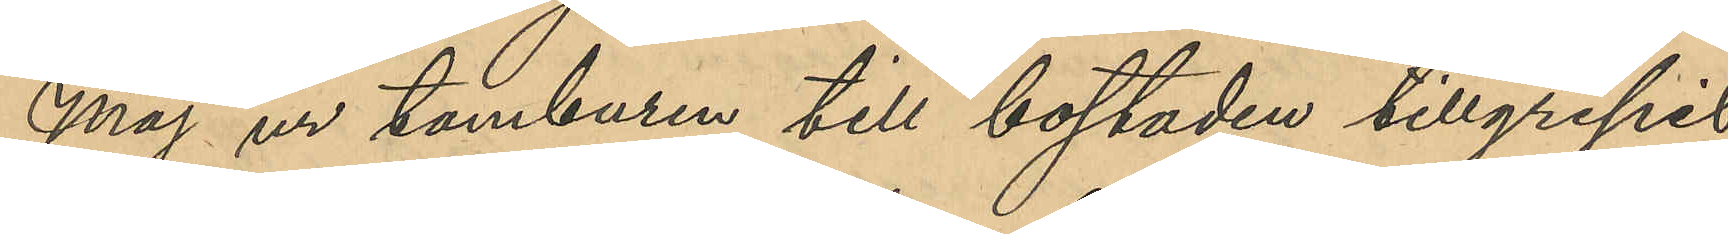Maj ur tamburen till bostaden tillgripit
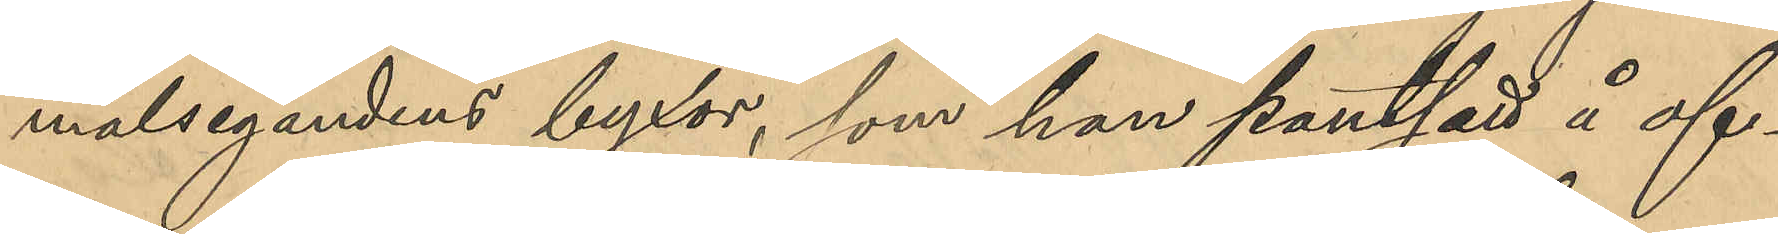målsegandens byxor, som han pantsatt å of¬
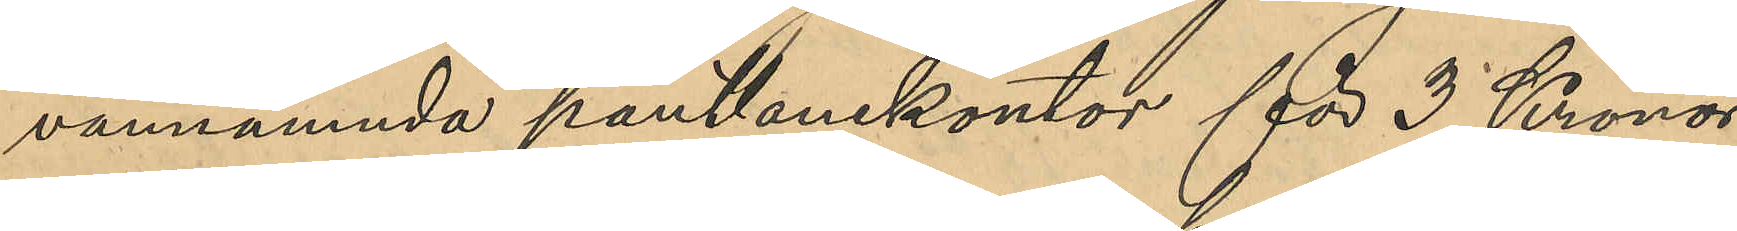vannämnda pantlanekontor för 3 Kronor
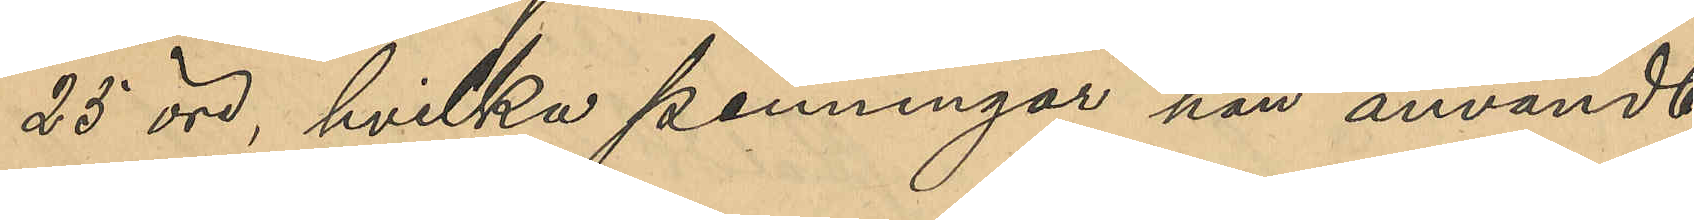25 öre, hvilka penningar han användt
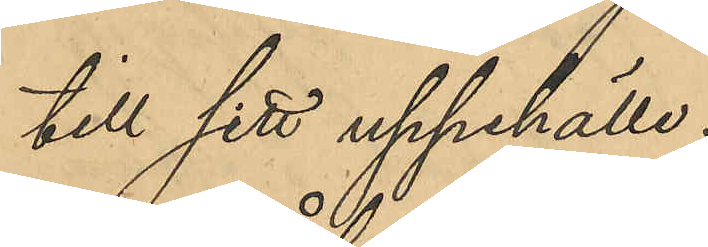till sitt uppehälle.
